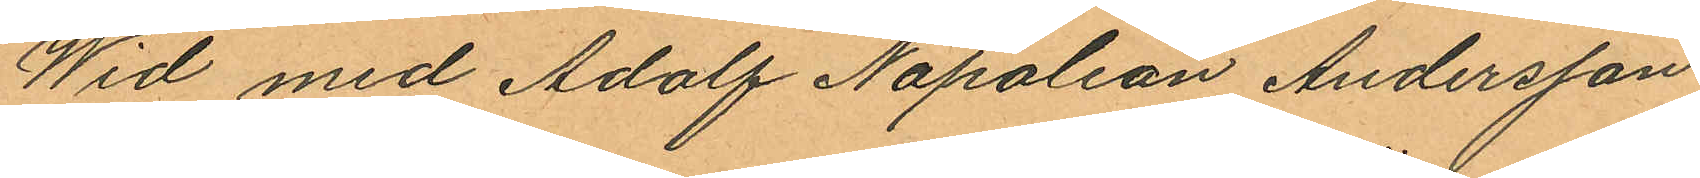Wid med Adolf Napoleon Andersson
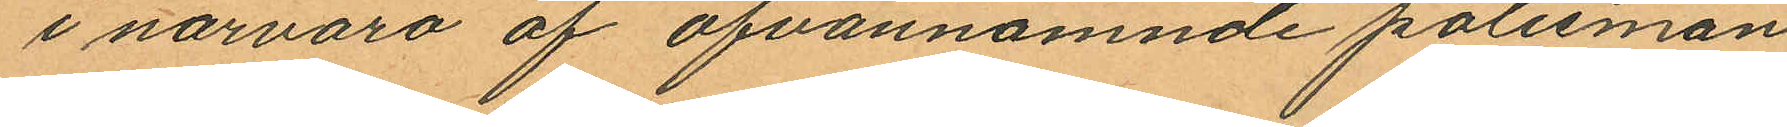i närvaro af ofvannämnde polismän
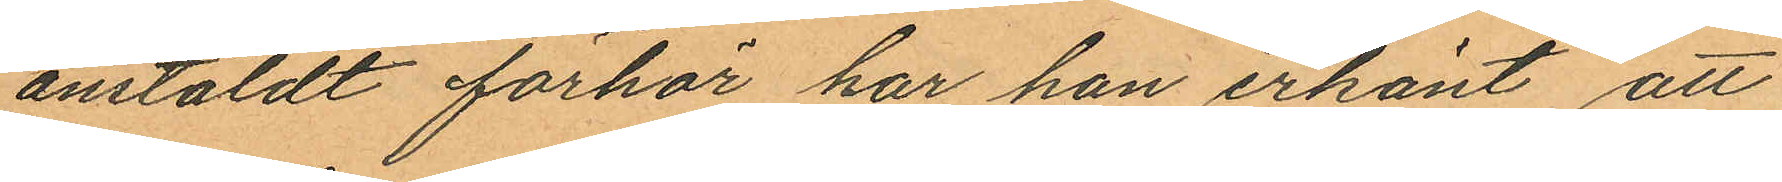anstäldt förhör har han erkänt att
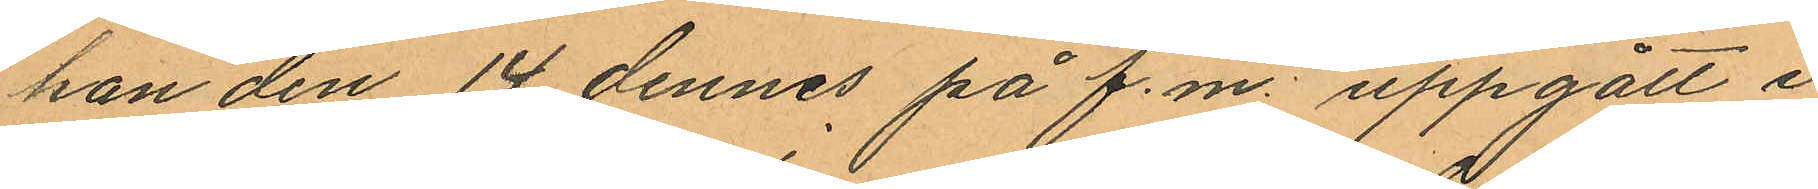han den 14 dennes på f.m. uppgått i
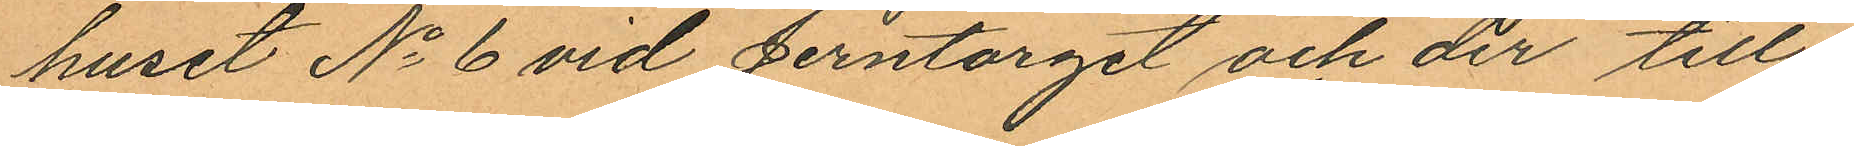huset No 6 vid Jerntorget och der till¬
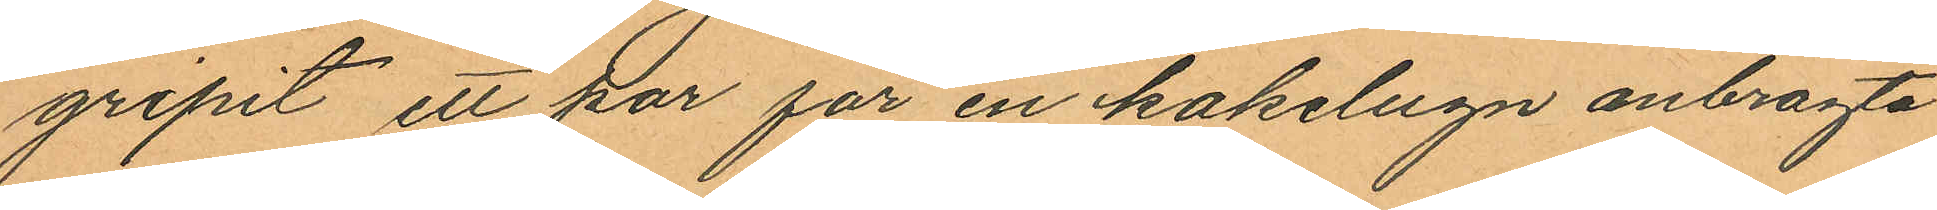gripit ett par för en kakelugn anbragta
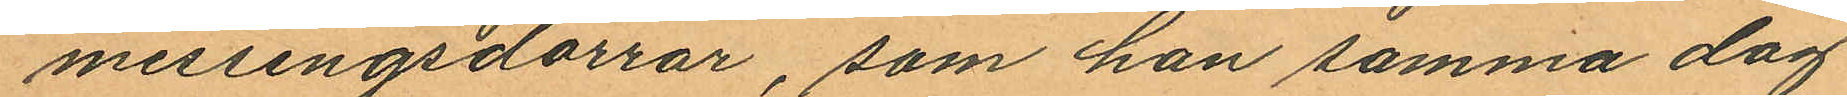messingsdörrar, som han samma dag
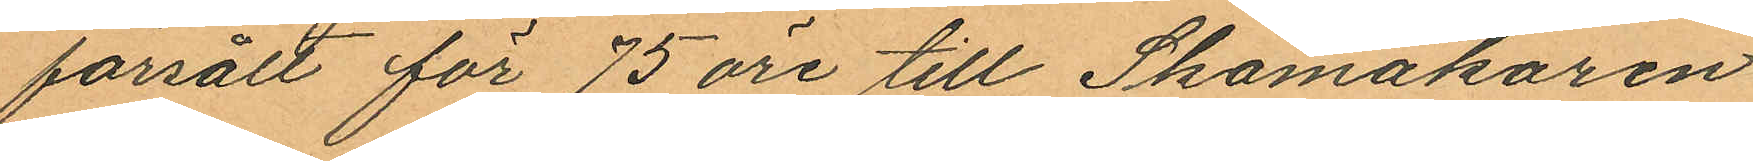försålt för 75 öre till Skomakaren
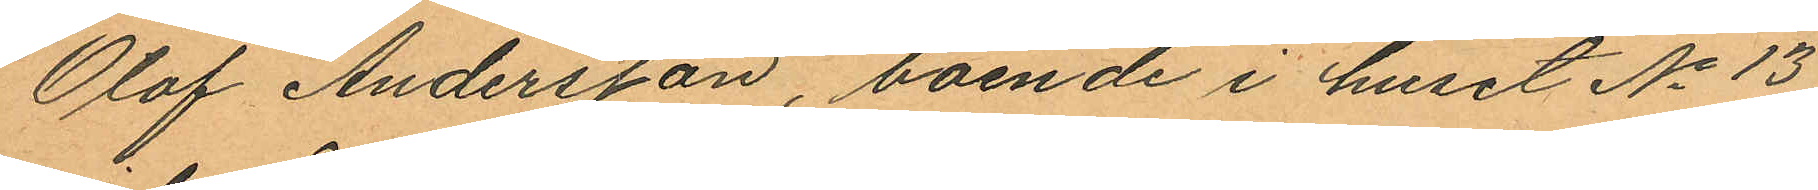Olof Andersson, boende i huset No 13
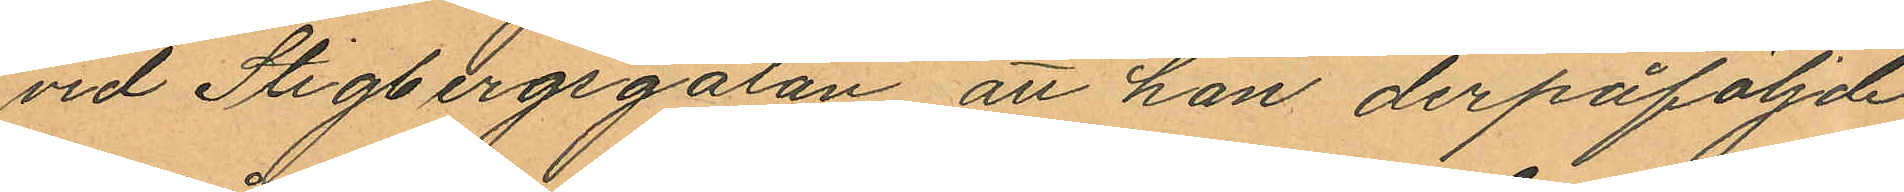vid Stigbergsgatan att han derpåföljde
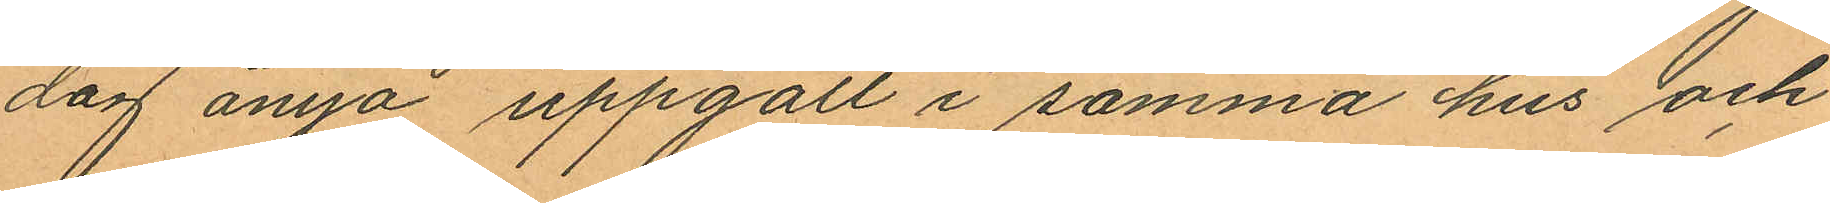dag ånyo uppgått i samma hus och
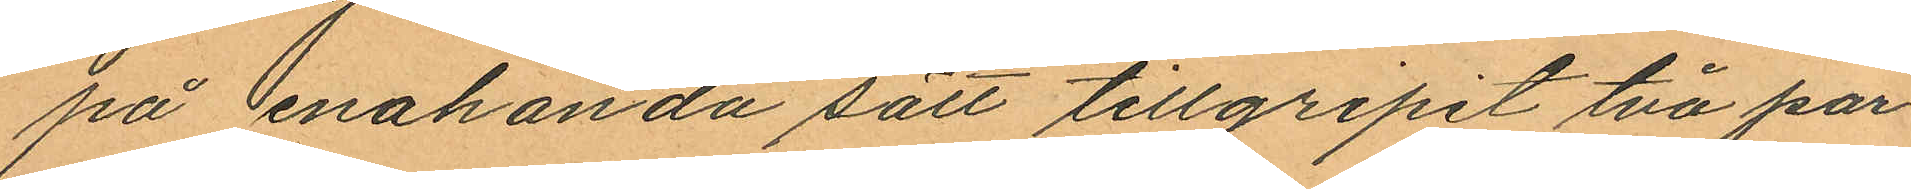på enahanda sätt tillgripit två par
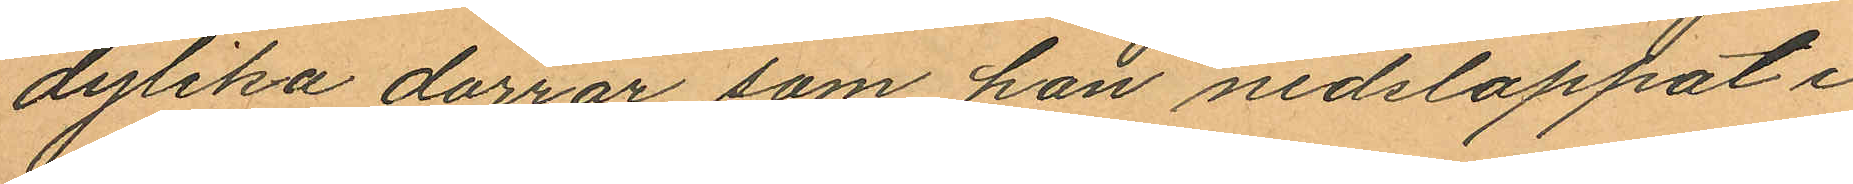dylika dörrar som han nedsloppat i
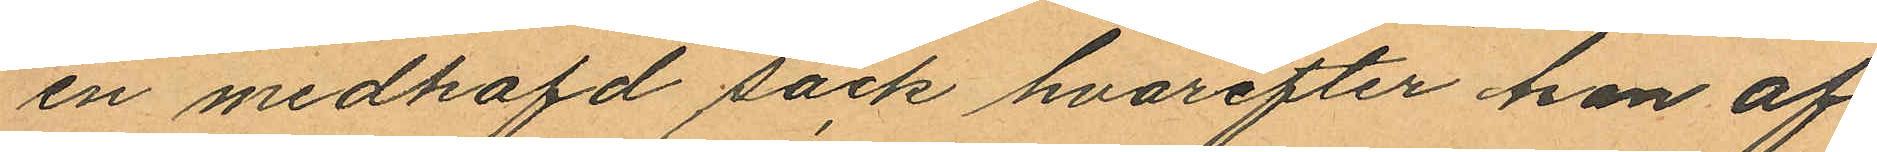en medhafd säck hvarefter han af
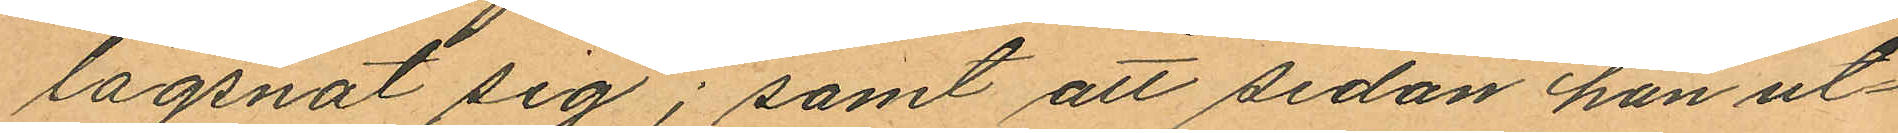lägsnat sig; samt att sedan han ut¬
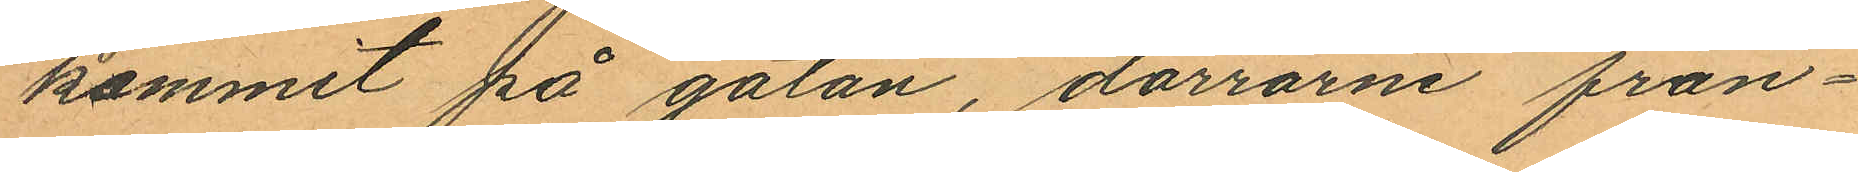kommit på gatan, dörrarne från¬
